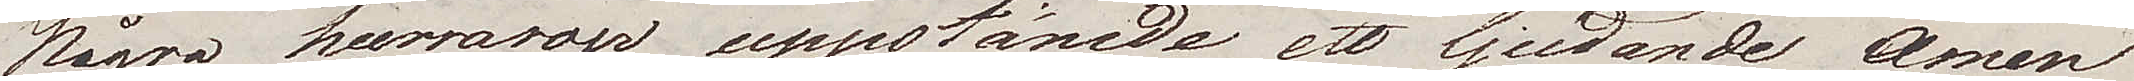Några hurrarop uppstämde ett ljudande Amen
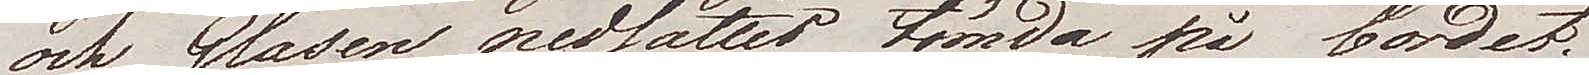och Glasen nedsattes tömda på bordet.
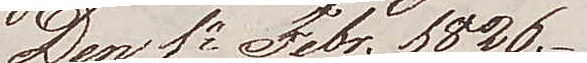Den 1e Febr. 1826.
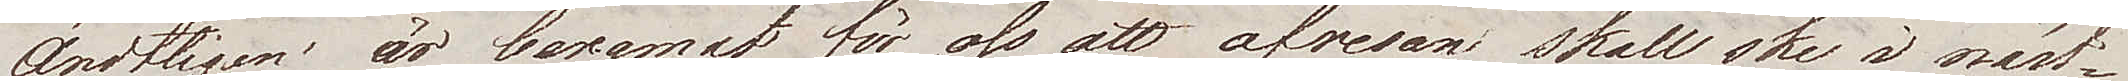Ändtligen är beramadt för oss att afresan skall ske i näst¬
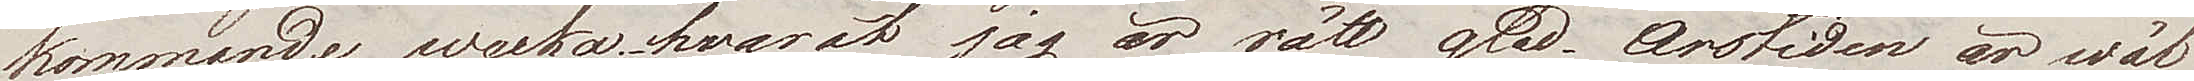kommande wecka, hvaråt jag är rätt glad. Årstiden är wäl
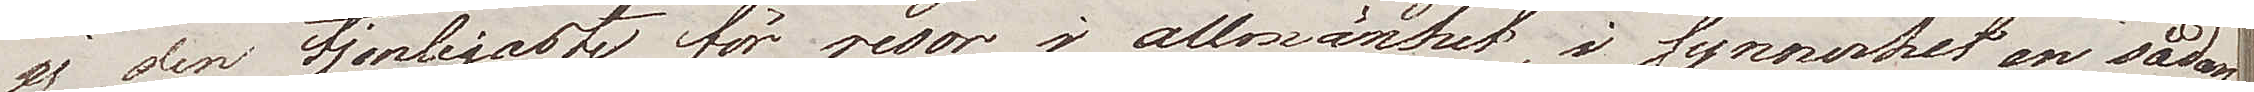ej den tjenligaste för resor i allmänhet, i synnerhet en sådan
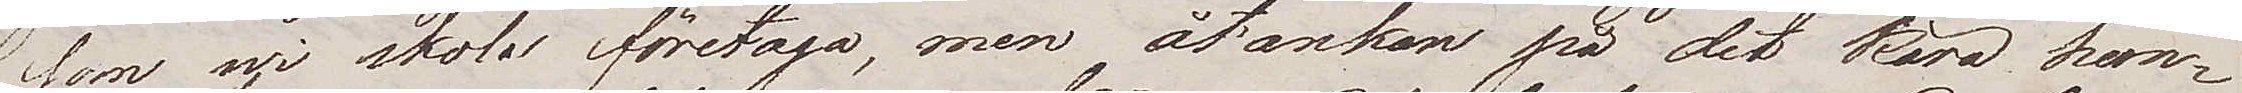som wi skola företaga, men åtanken på det kära hem¬
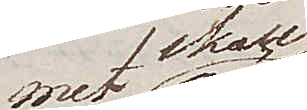met skall
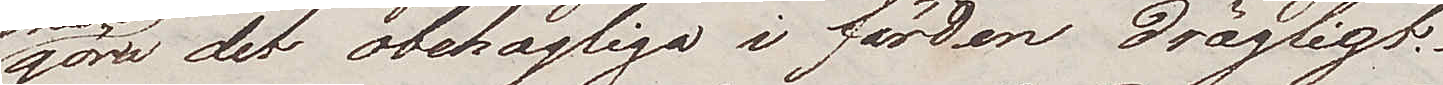göra det obehagliga i färden drägligt.
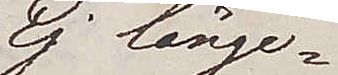Ej länge¬
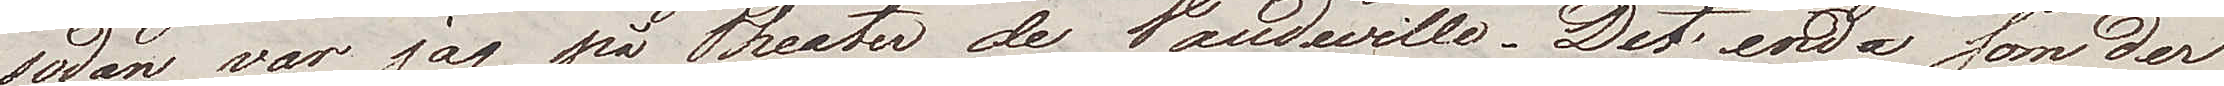sedan var jag på Theater de Vaudeville. Det enda som der
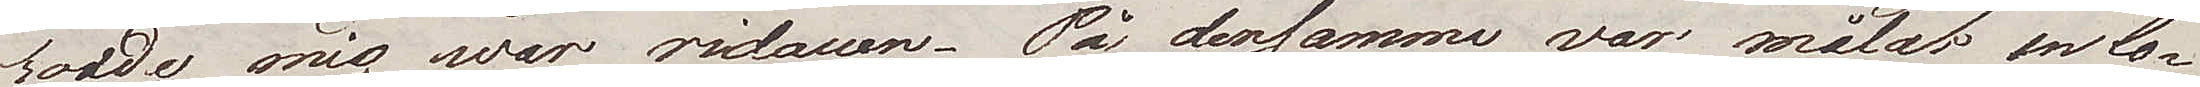roade mig war ridauen. På densamma var målat en Co¬
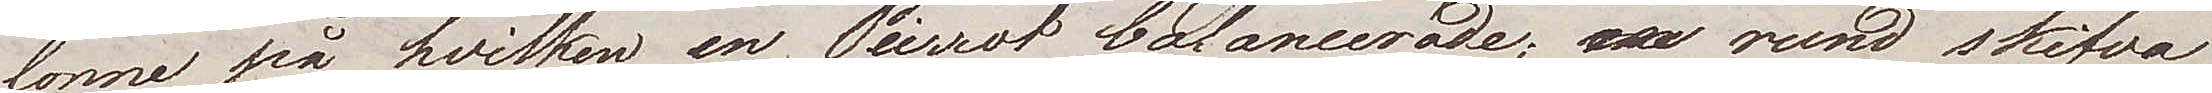lonne på hvilken en Pierrot balancerade; en rund skifva
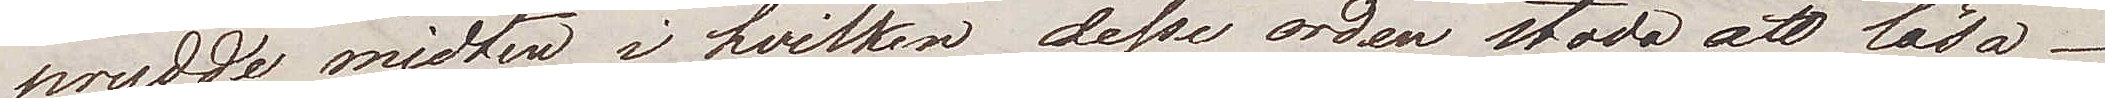prydde midten i hvilken desse orden stodo att läsa.
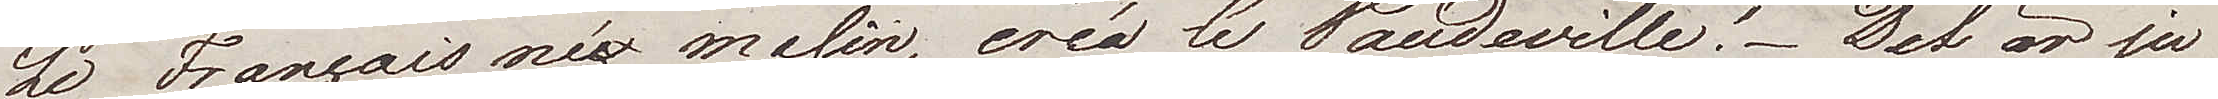Le Français né malin, créa le Vaudeville! Det är ju
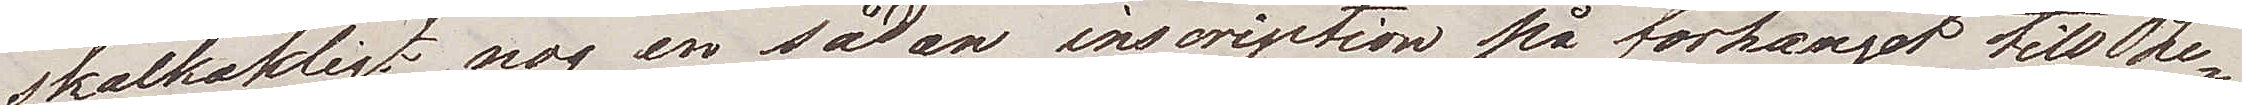skalkaktigt nog en sådan inscription på förhänget till The¬
